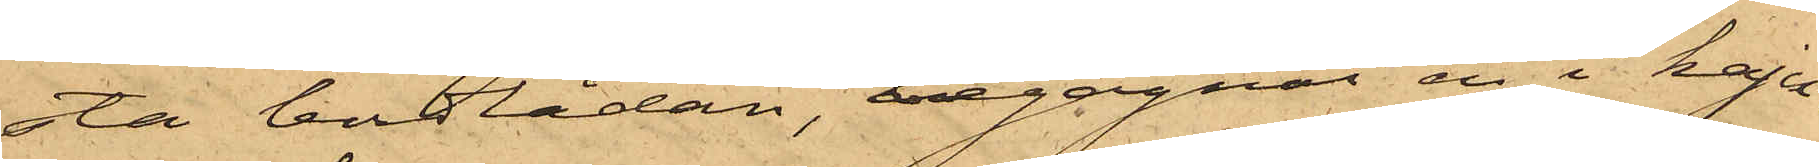sta bordlådan, begagnat en i kaju¬
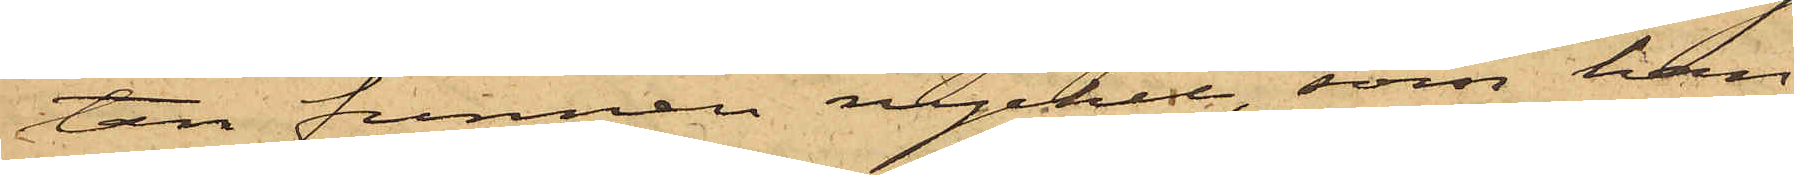tan funnen nyckel, som han
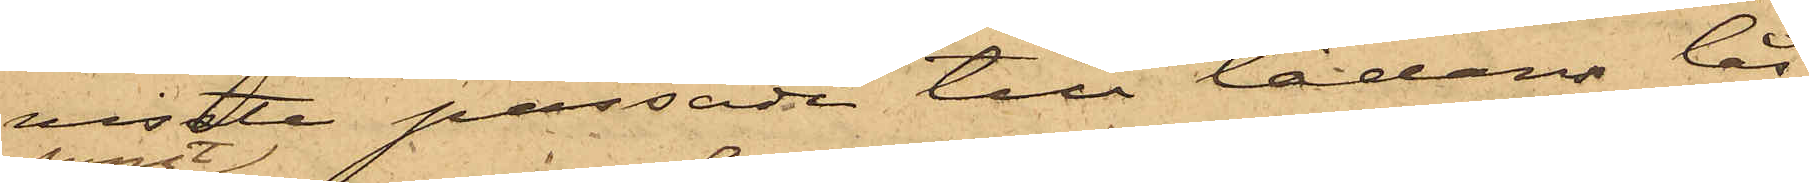visste passade till lådans lås;
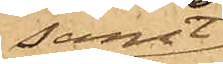samt
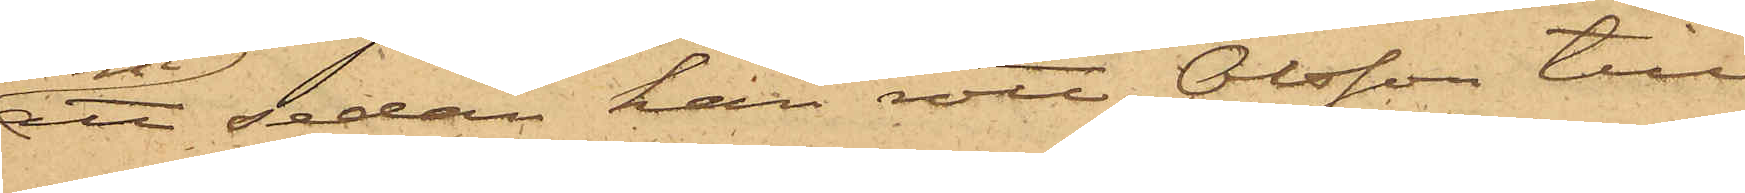att sedan han rott Olsson till
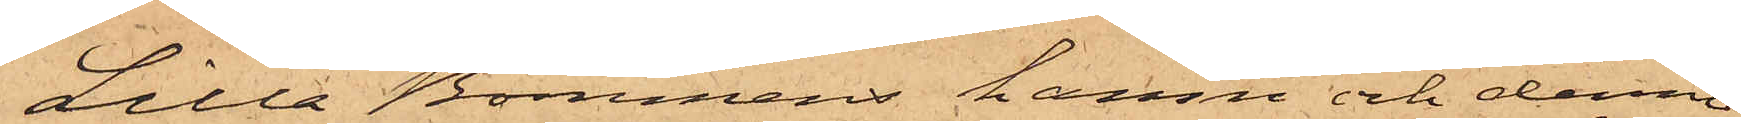Lilla Bommens hamn och denne
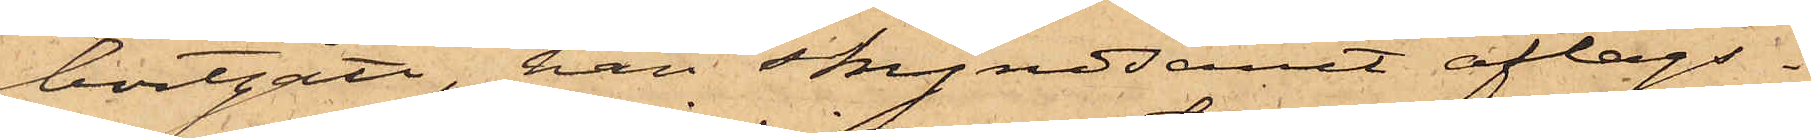bortgått, han skyndsamt aflägs¬
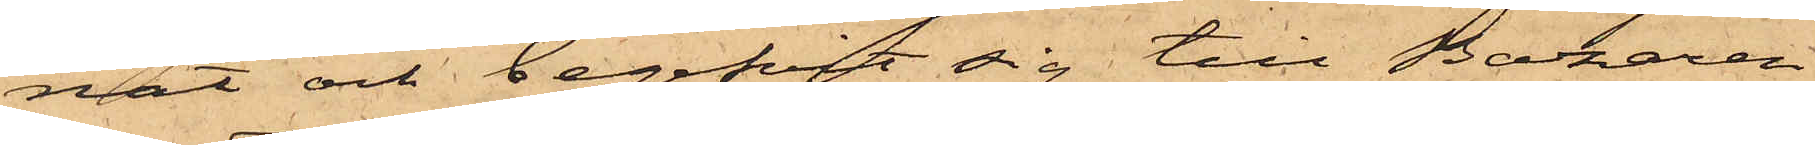nat och begifvit sig till Bazaren
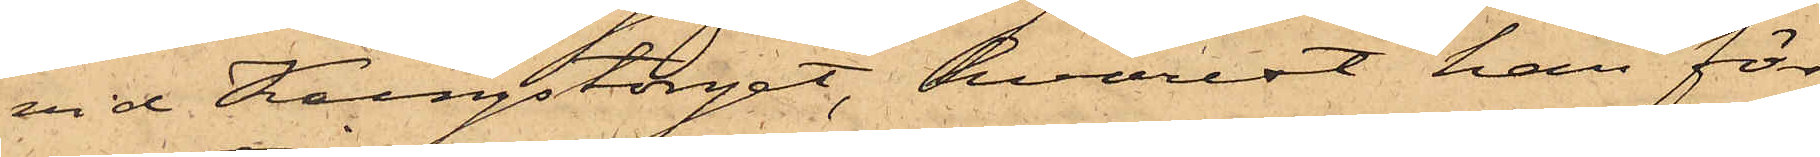vid Kungstorget, hvarest han för
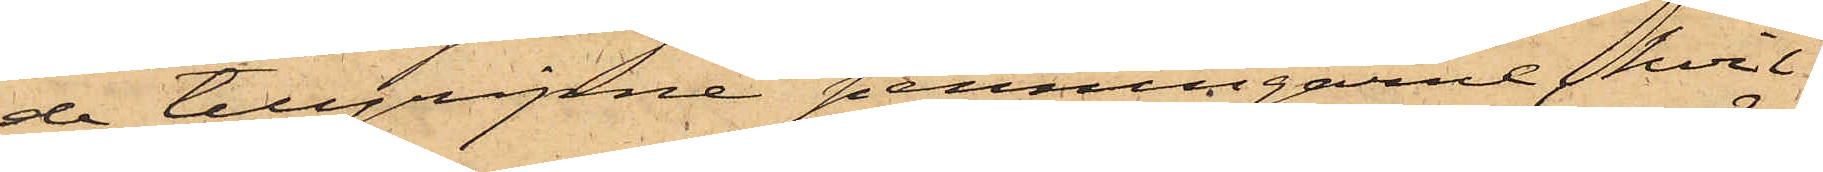de tillgripne penningarne, hvil¬
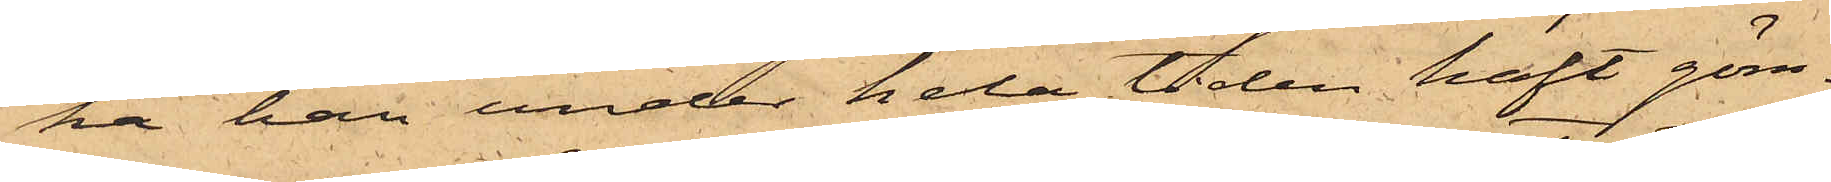ka han under hela tiden haft göm¬
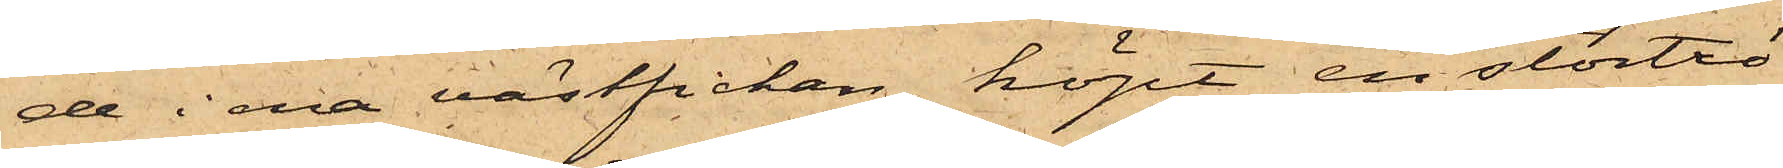de i ena västfickan, köpt en stortrö¬
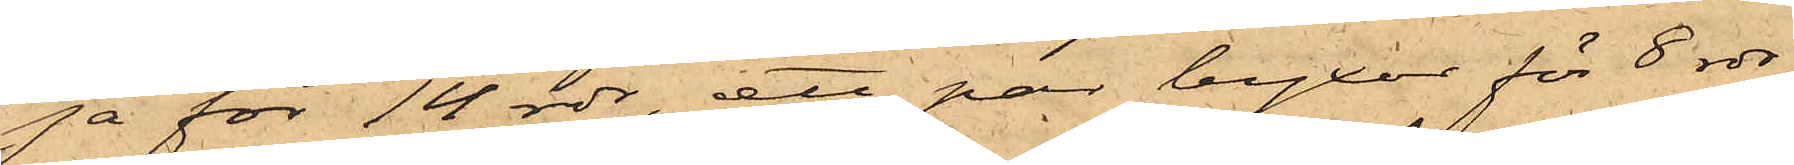ja för 14 rdr, ett par byxor för 8 rdr
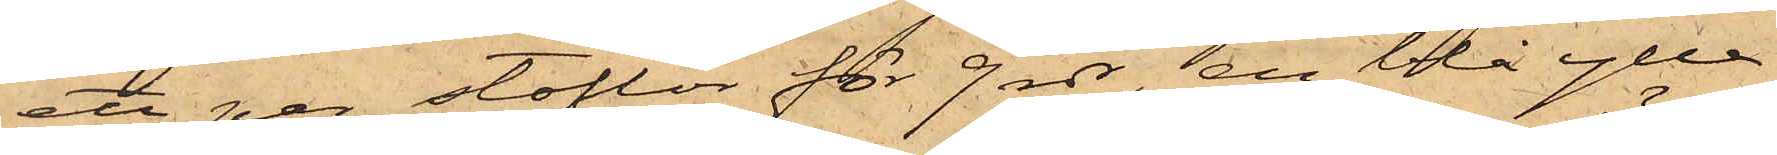ett par stöflor för 9 rdr, en blå ylle¬
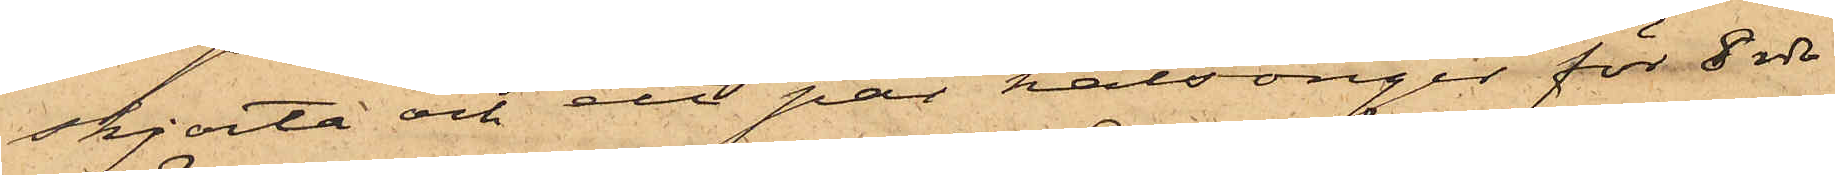skjorta och ett par kalsonger för 8 rdr
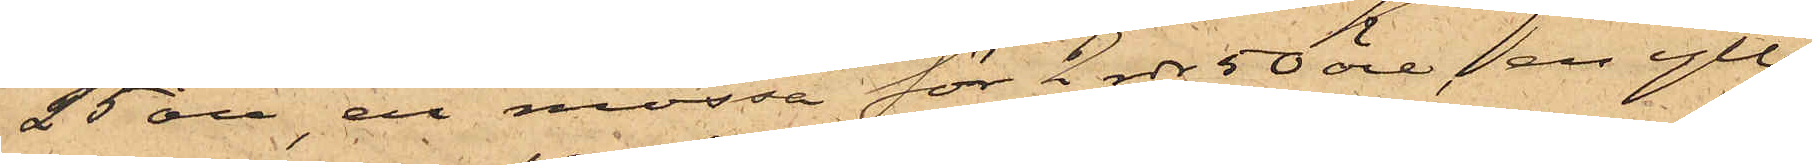25 öre, en mössa för 2 rdr 50 öre, en ylle¬
